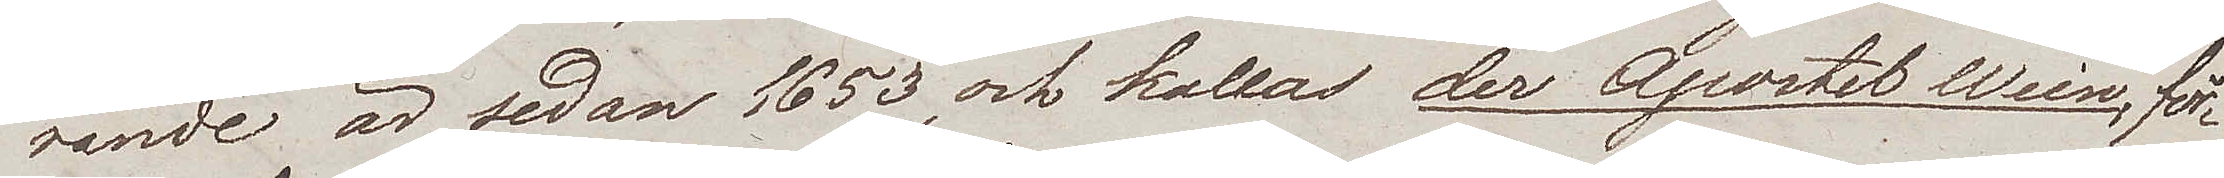rande är sedan 1653, och kallas der Apostel Wein, för¬
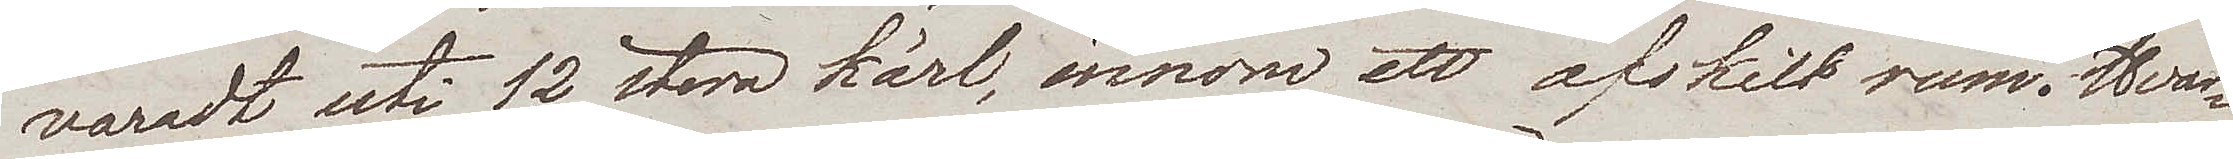varadt uti 12 stora kärl, innom ett afskilt rum. Hvar¬
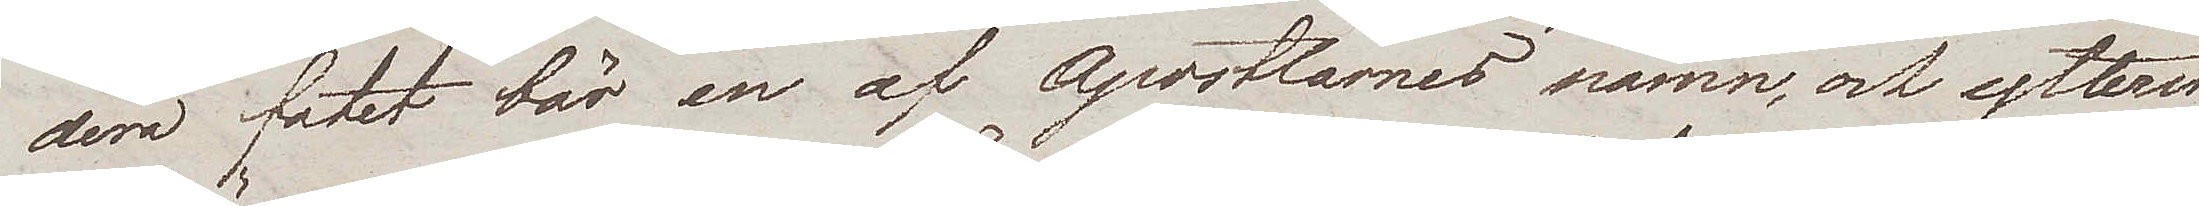dera fatet bär en af Apostlarnes namn, och ytterst
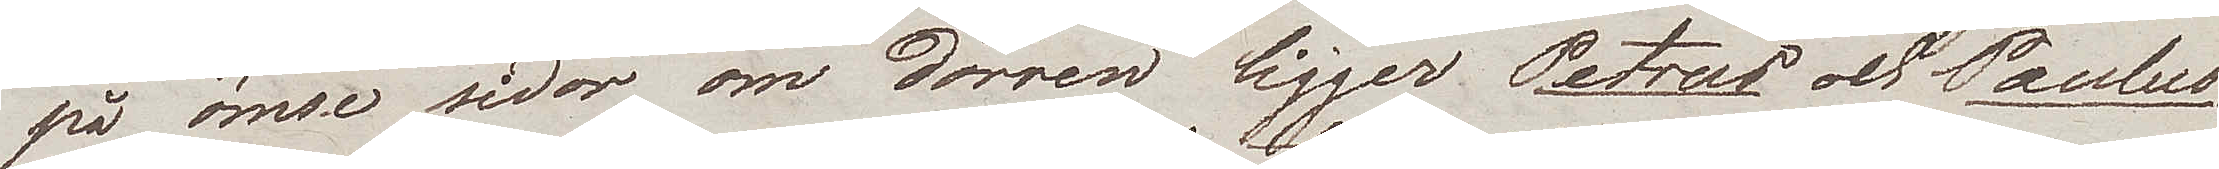på ömse sidor om dörren ligger Petrus och Paulus.
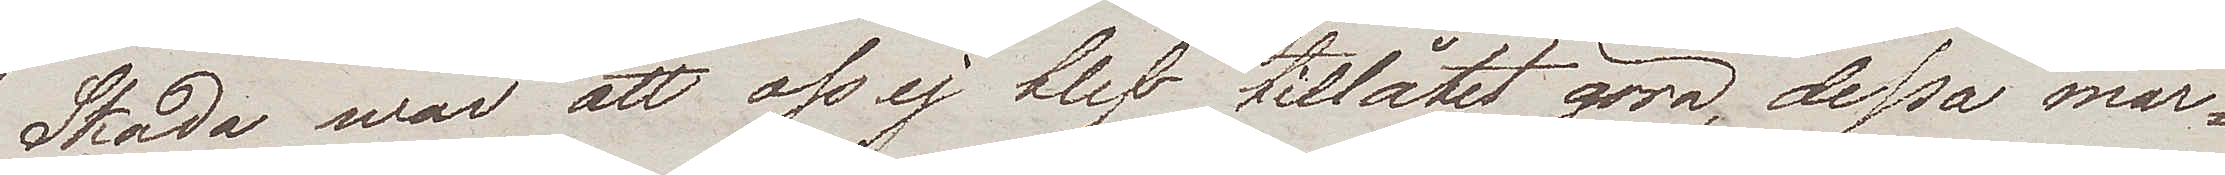Skada war att oss ej blef tillåtet göra, dessa mar¬
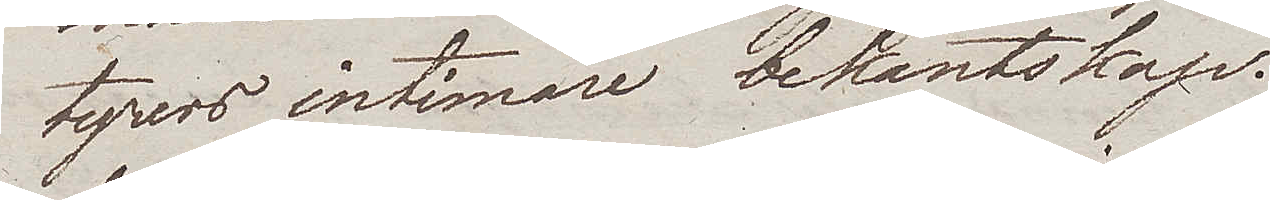tyrers intimare bekantskap.
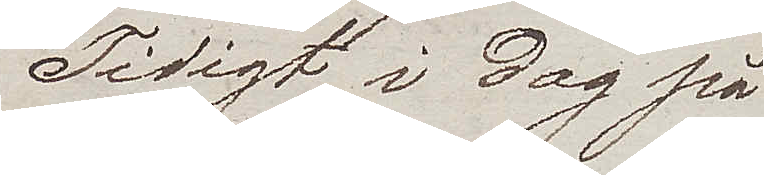Tidigt i dag på
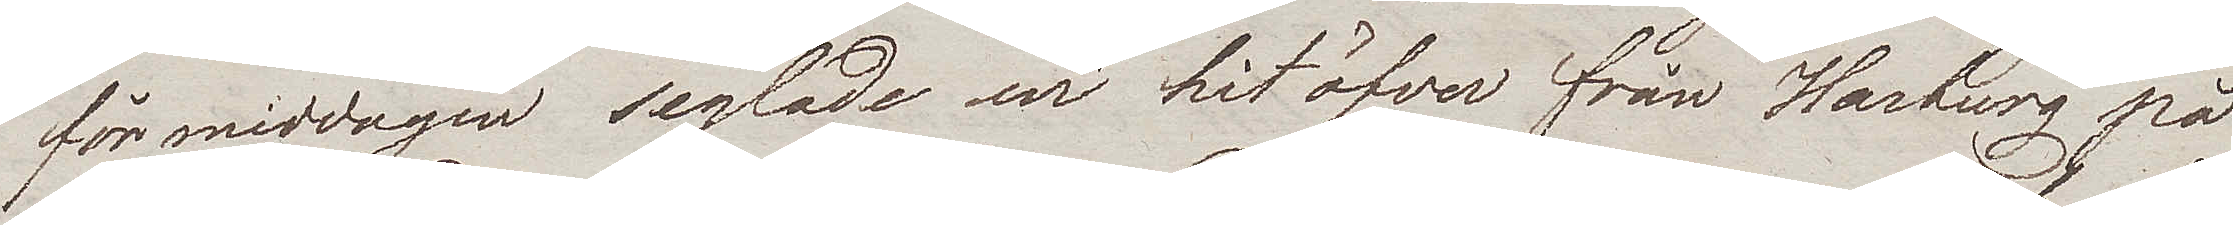förmiddagen seglade wi hitöfver från Harburg på
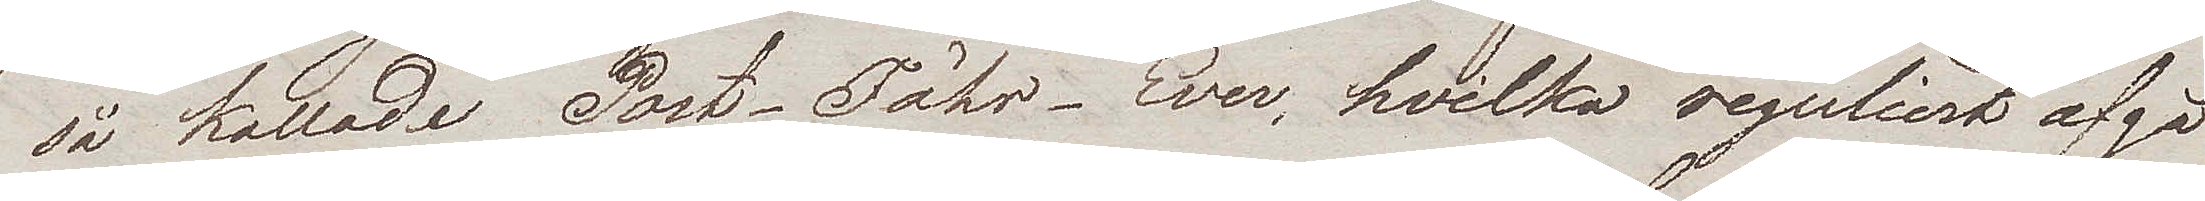så kallade Post-Fähr-Ewer, hvilka reguliert afgå
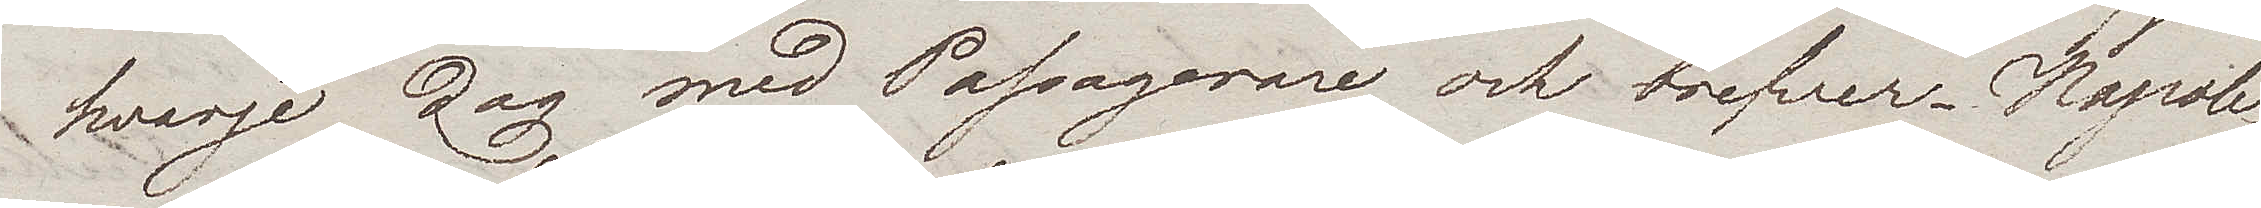hvarje dag med Passagerare och brefver. Napole¬
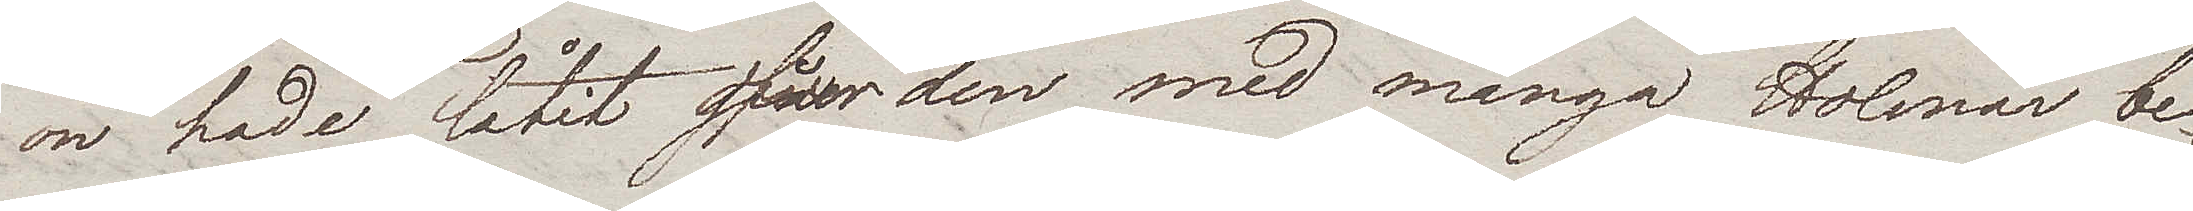on hade låtit öfwer den med många Holmar be¬
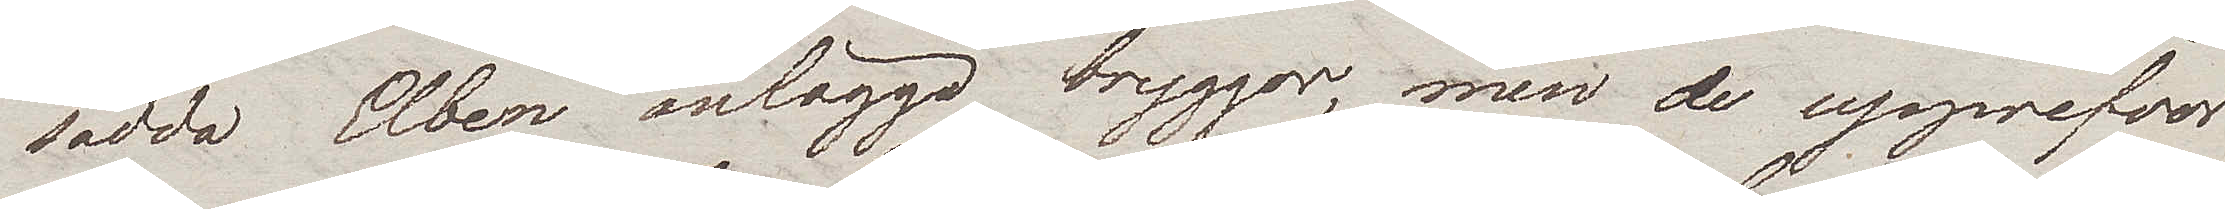sådda Elben anlägga bryggor, men de upprefvos
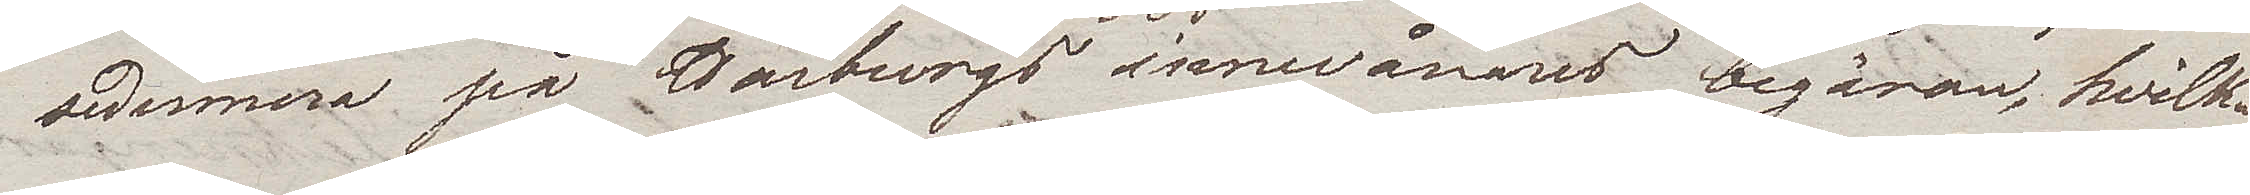sedermera på Harburgs innevånares begäran, hvilka
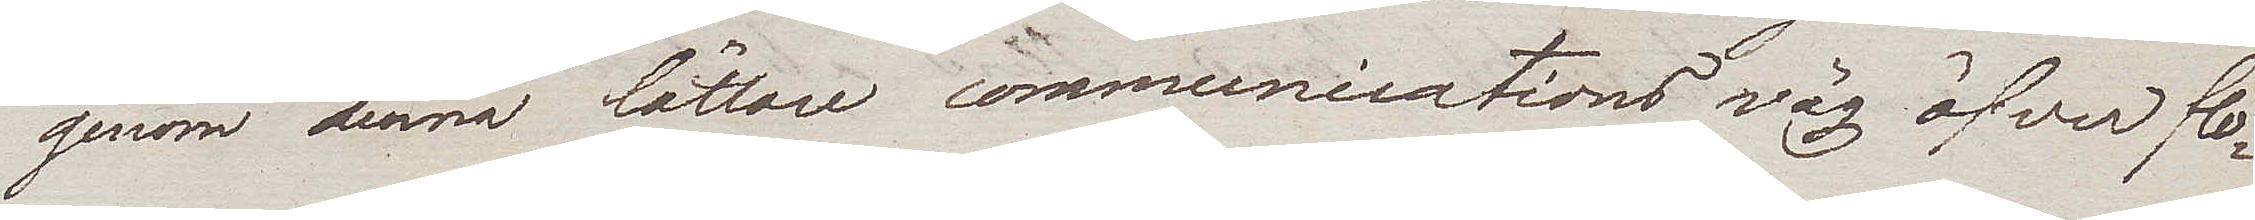genom denna lättare communications väg öfver flo¬
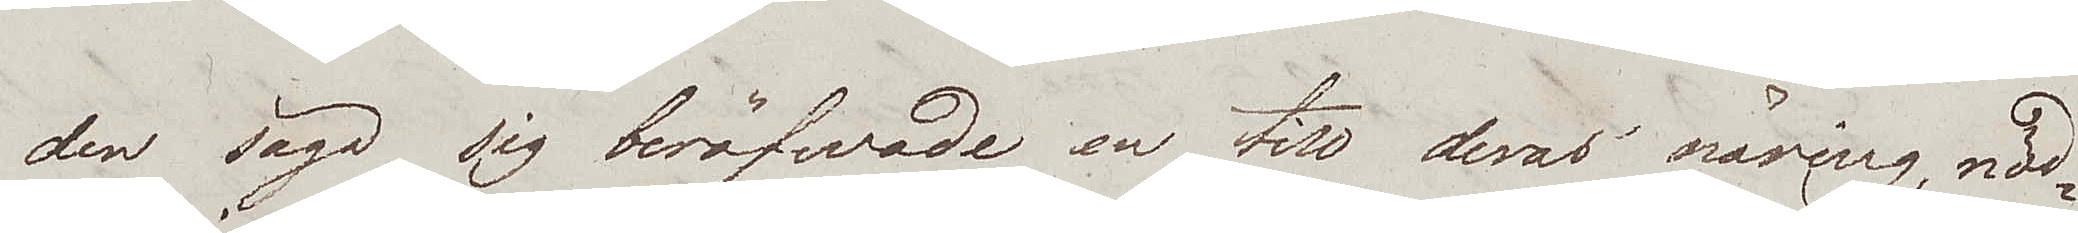den säga sig beröfwade en till deras näring, nöd¬
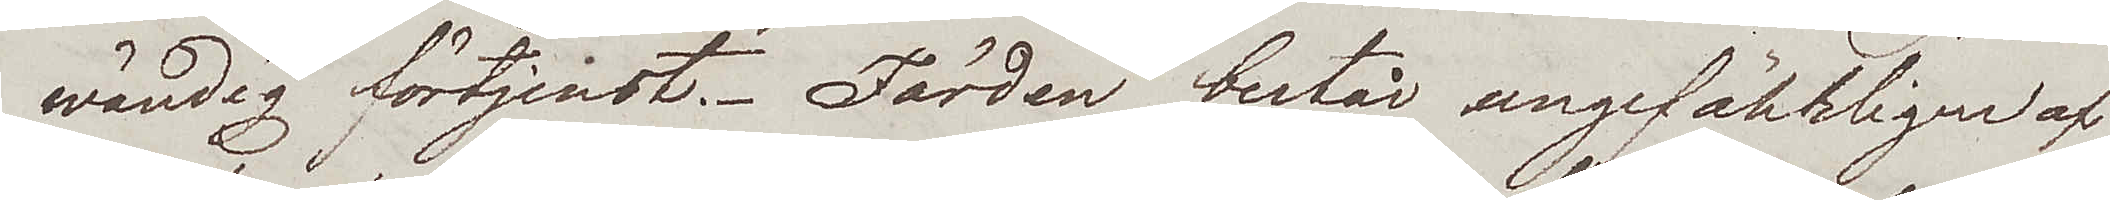wändig förtjenst. Färden består ungefährligen af
